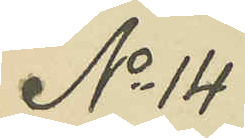No 14
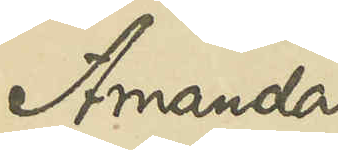Amanda
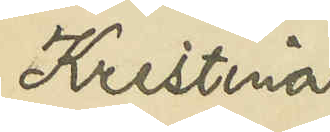Kristina
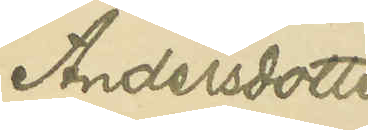Andersdotter
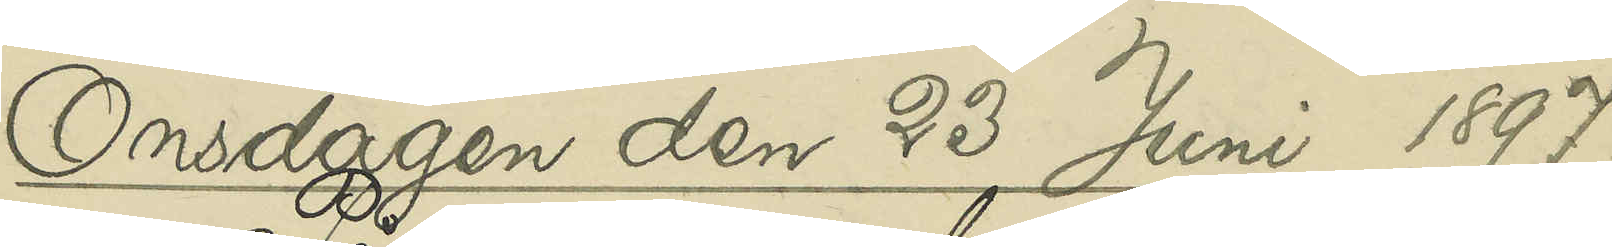Onsdagen den 23 Juni 1897.
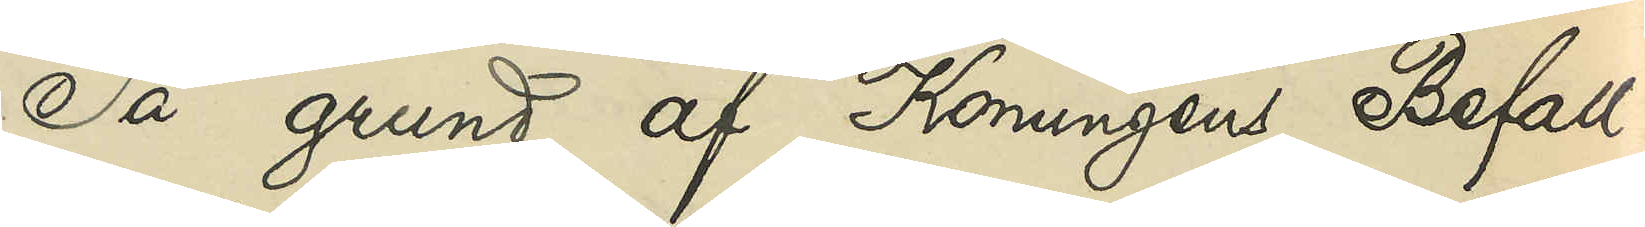På grund af Konungens Befall¬
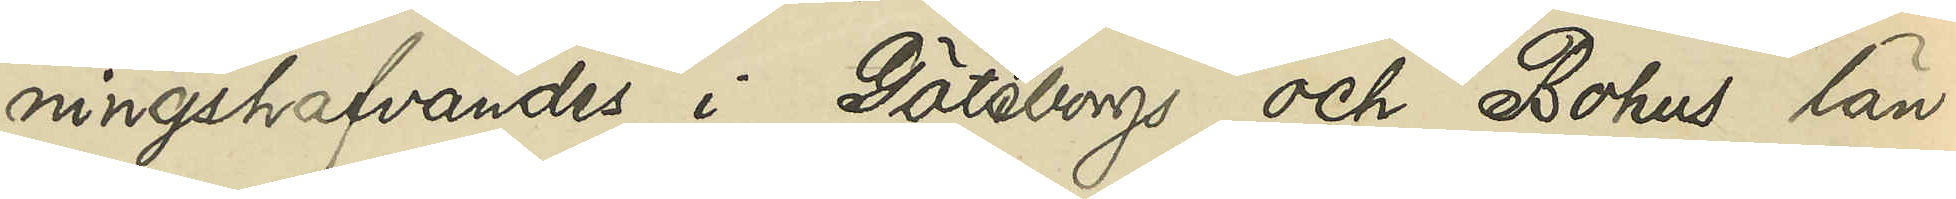ningshafvandes i Göteborgs och Bohus län
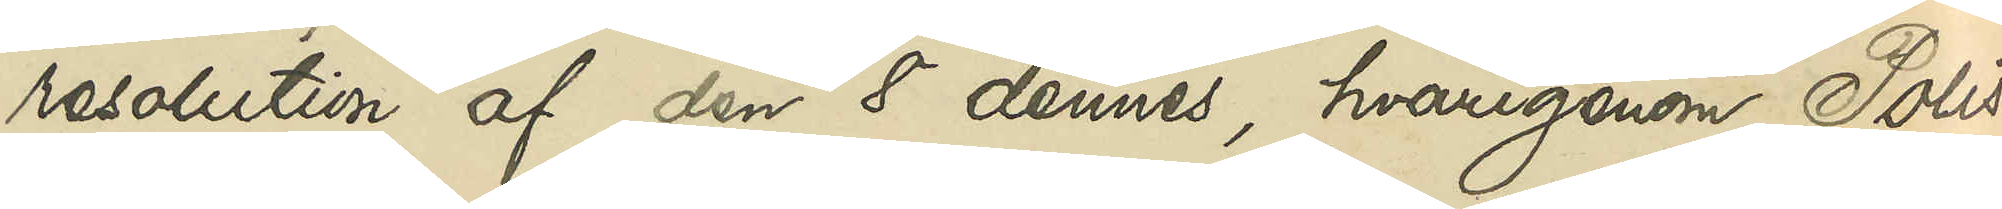resolution af den 8 dennes, hvarigenom Polis¬
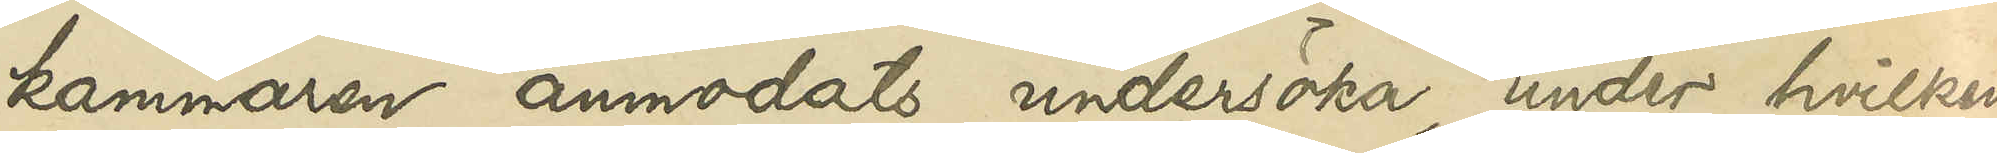kammaren anmodats undersöka, under hvilken
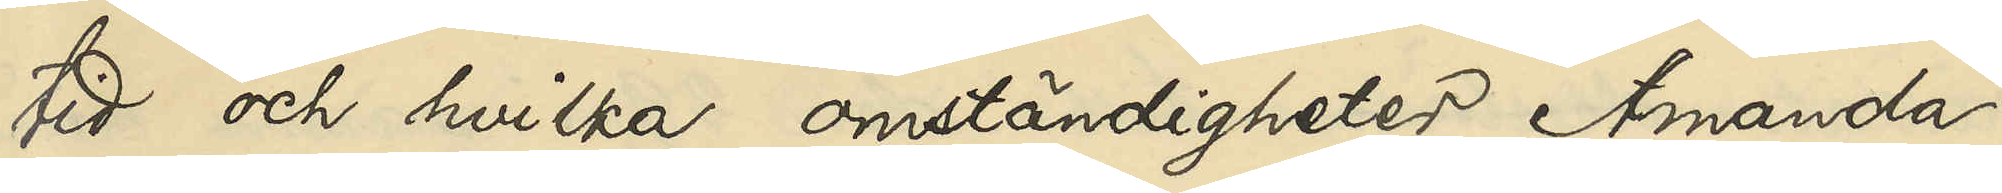tid och hvilka omständigheter Amanda
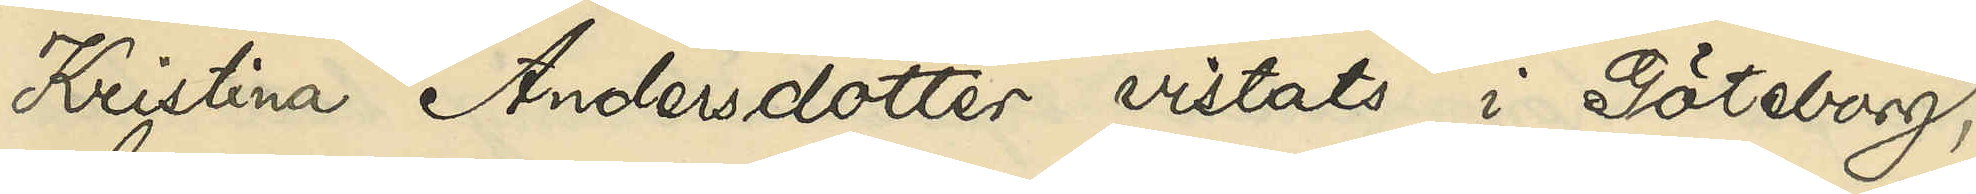Kristina Andersdotter vistats i Göteborg,
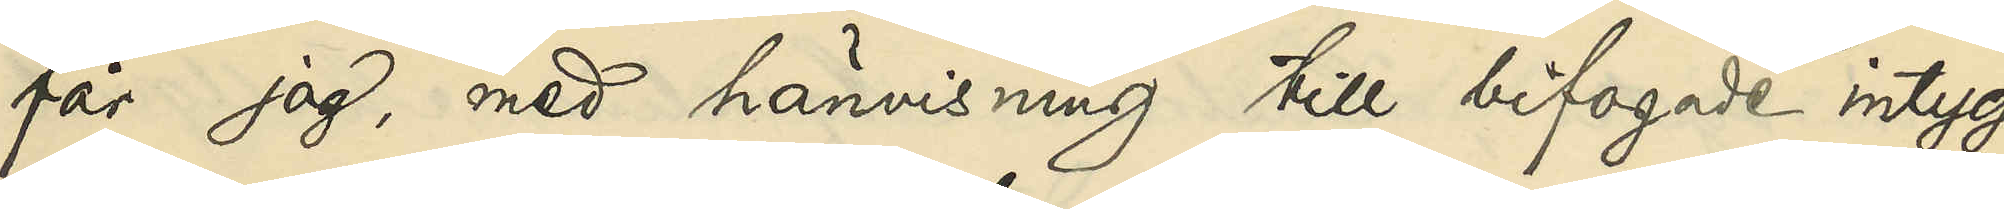får jag, med hänvisning till bifogade intyg
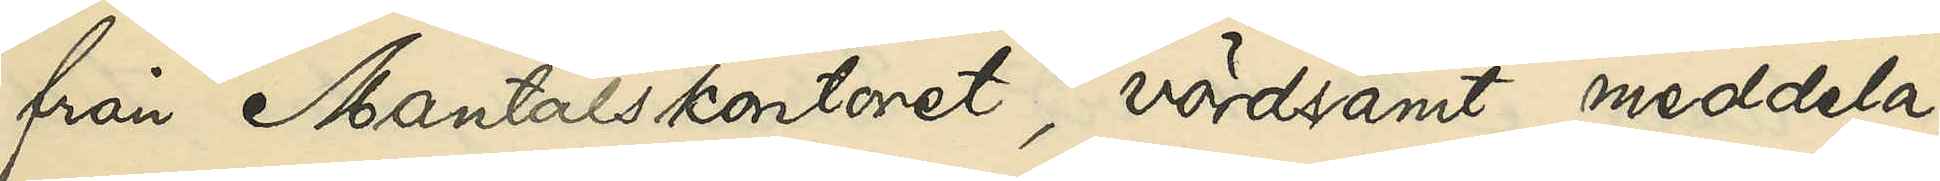från Mantalskontoret, vördsamt meddela,
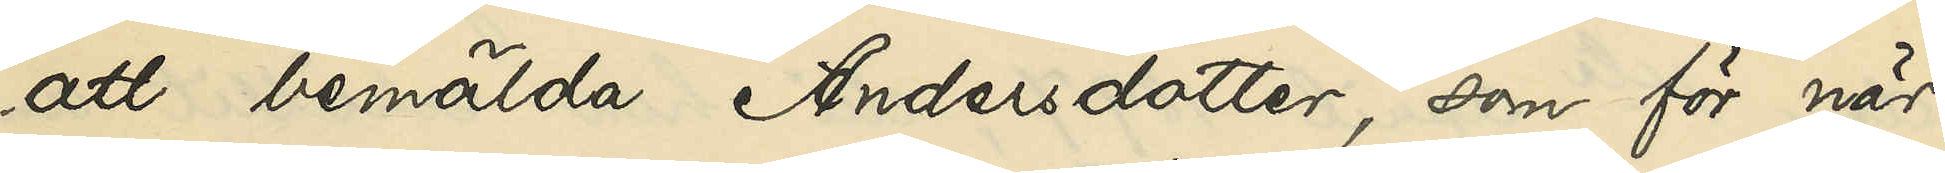att bemälda Andersdotter, som för när¬
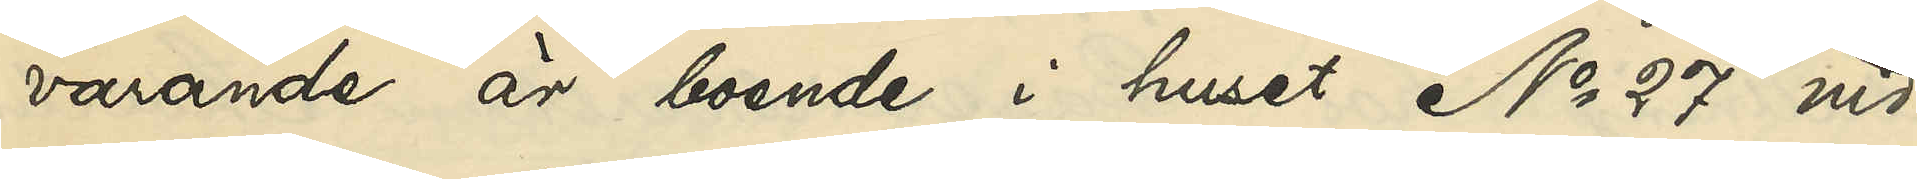varande är boende i huset No 27 vid
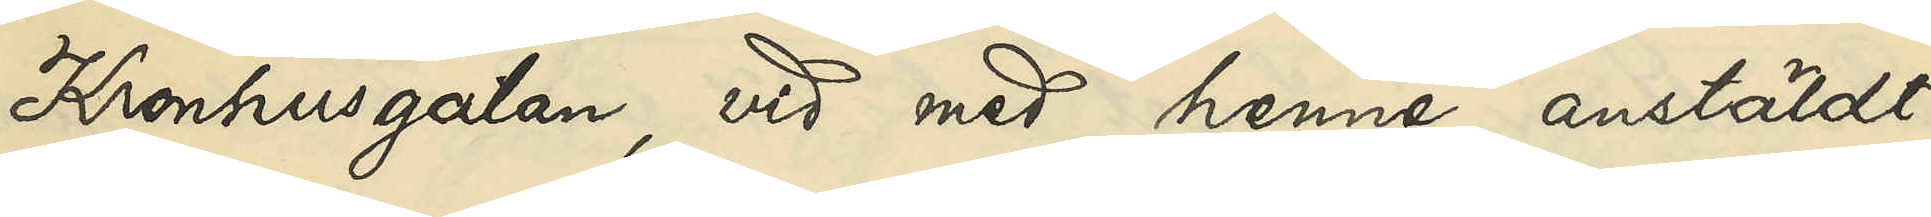Kronhusgatan, vid med henne anstäldt
